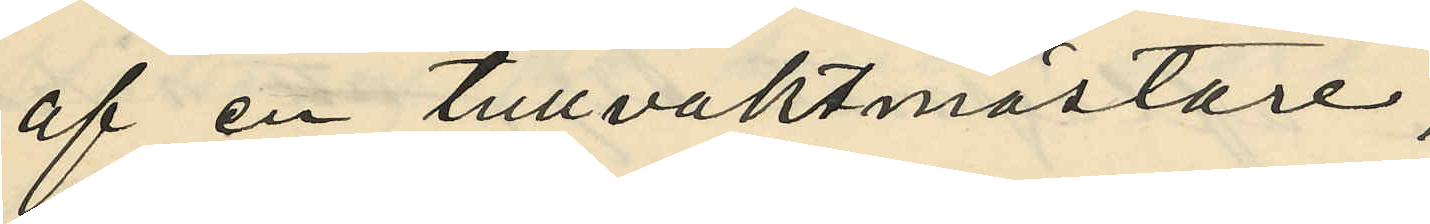af en tullvaktmästare;
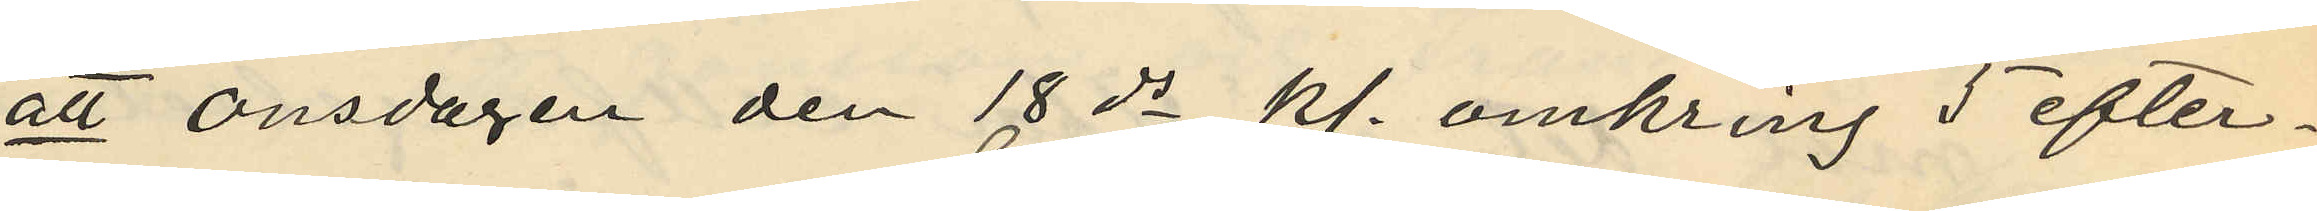att onsdagen den 18 ds kl. omkring 5 efter¬
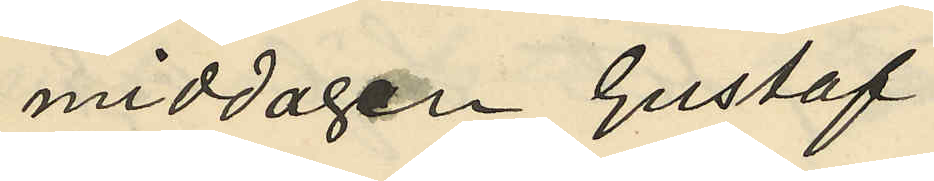middagen Gustaf
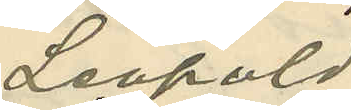Leopold
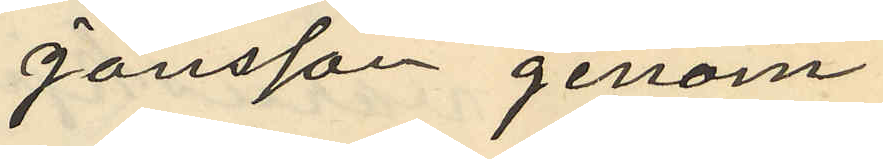Jönsson genom
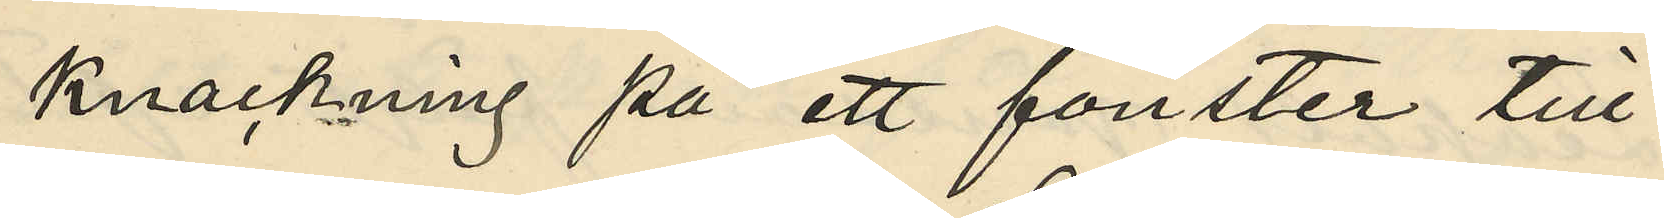knackning på ett fönster till
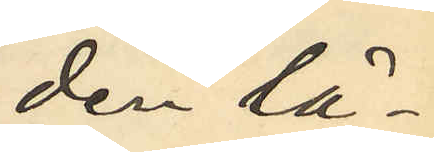den lä¬
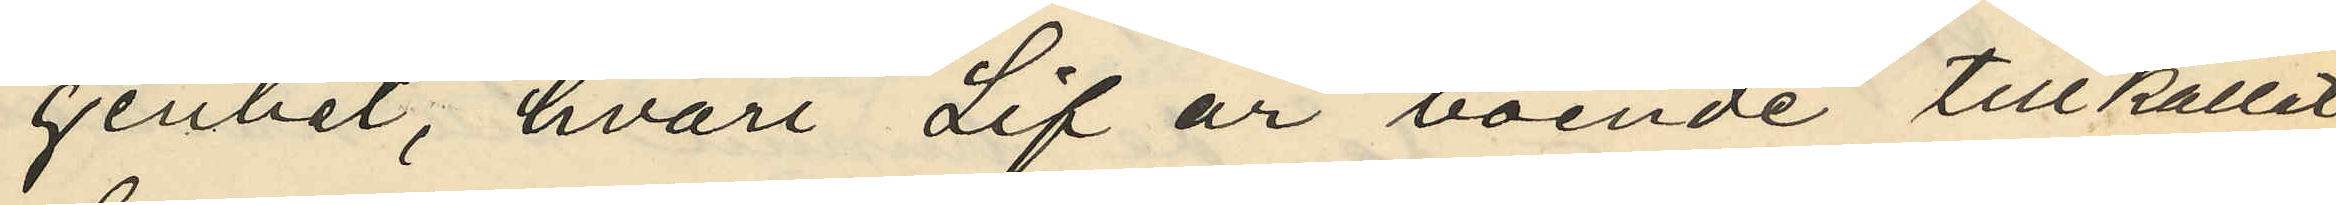genhet, hvari Lif är boende tillkallat
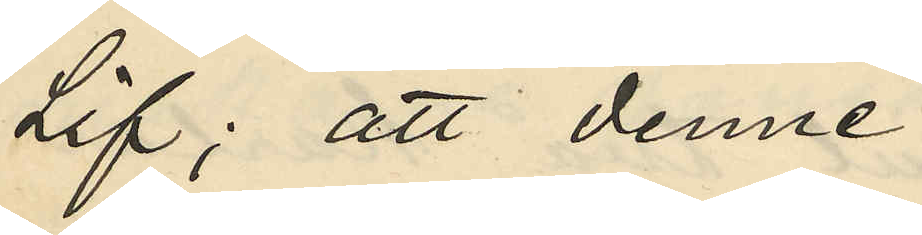Lif; att denne
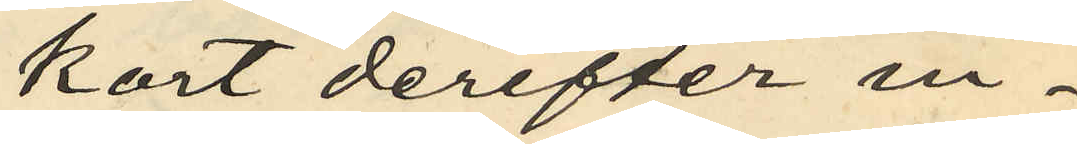kort derefter in¬
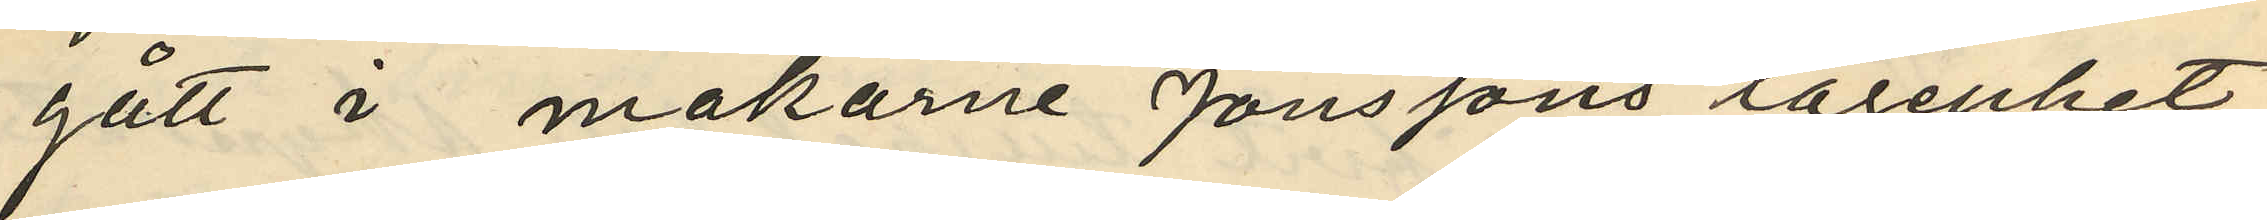gått i makarne Jönssons lägenhet,
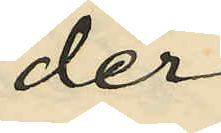der
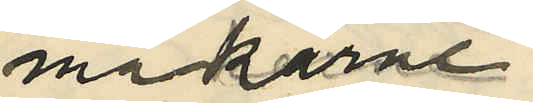makarne
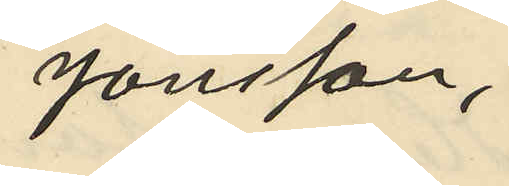Jönsson,
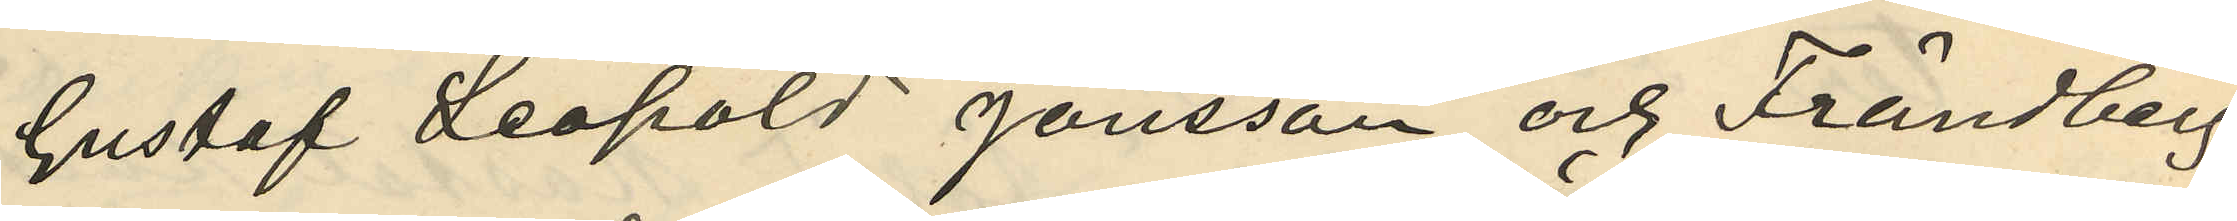Gustaf Leopold Jönsson och Frändberg
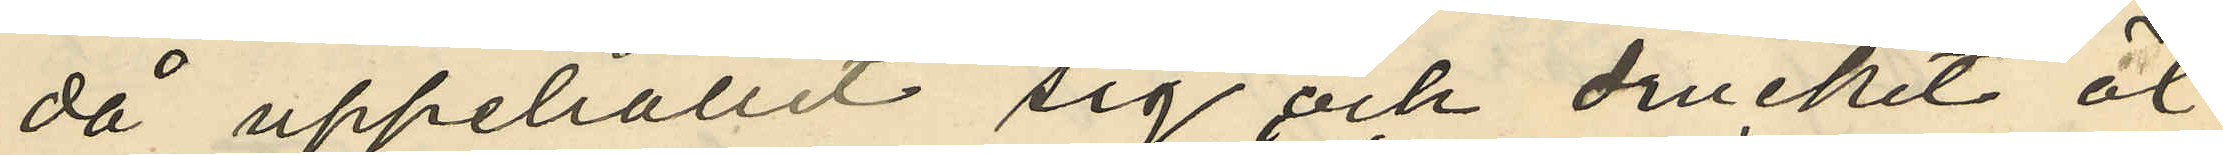då uppehållit sig och druckit öl;
